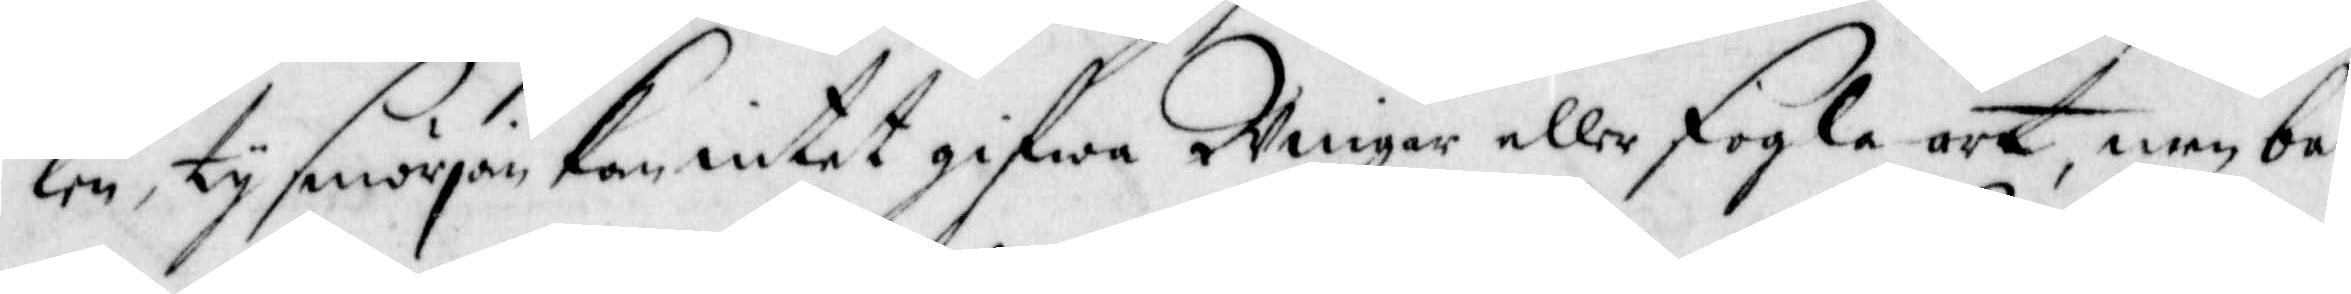len, ty smörjan kan intet gifwa Wingar eller fogla art, men bar¬
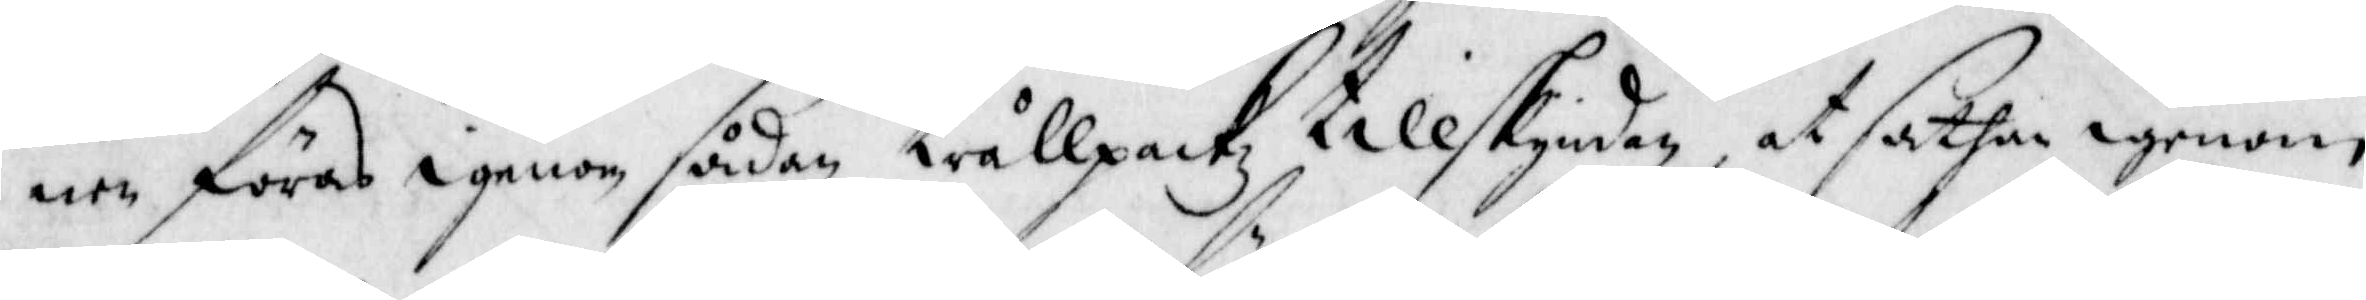nen föras igenom sådan trållpckz tillskyndan, at sathan igenom
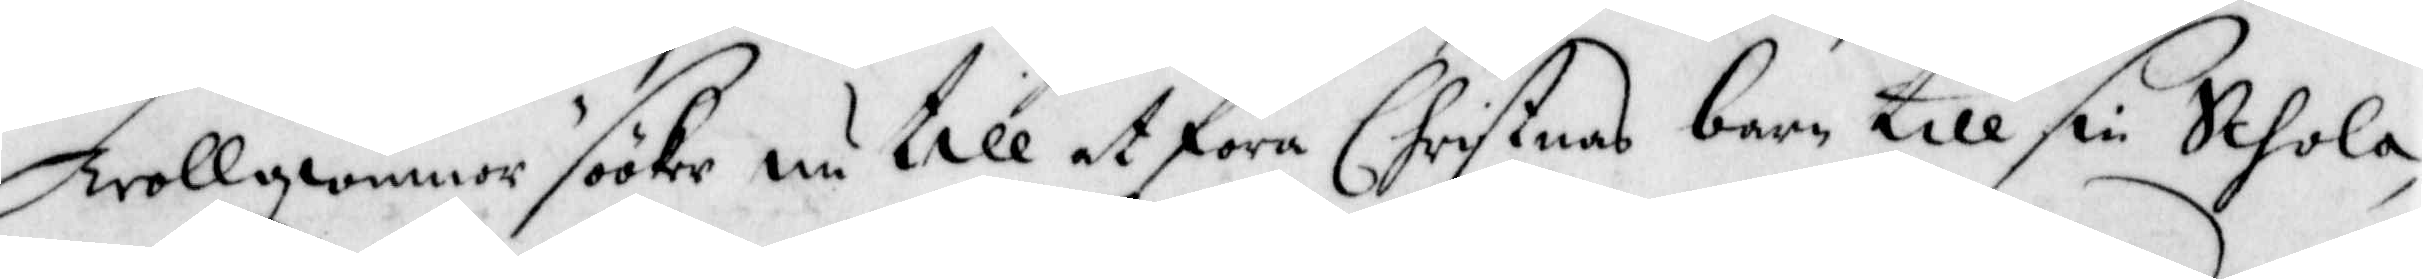Trollqwinnor sööker nu till at föra Christnas barn till sin Schola,
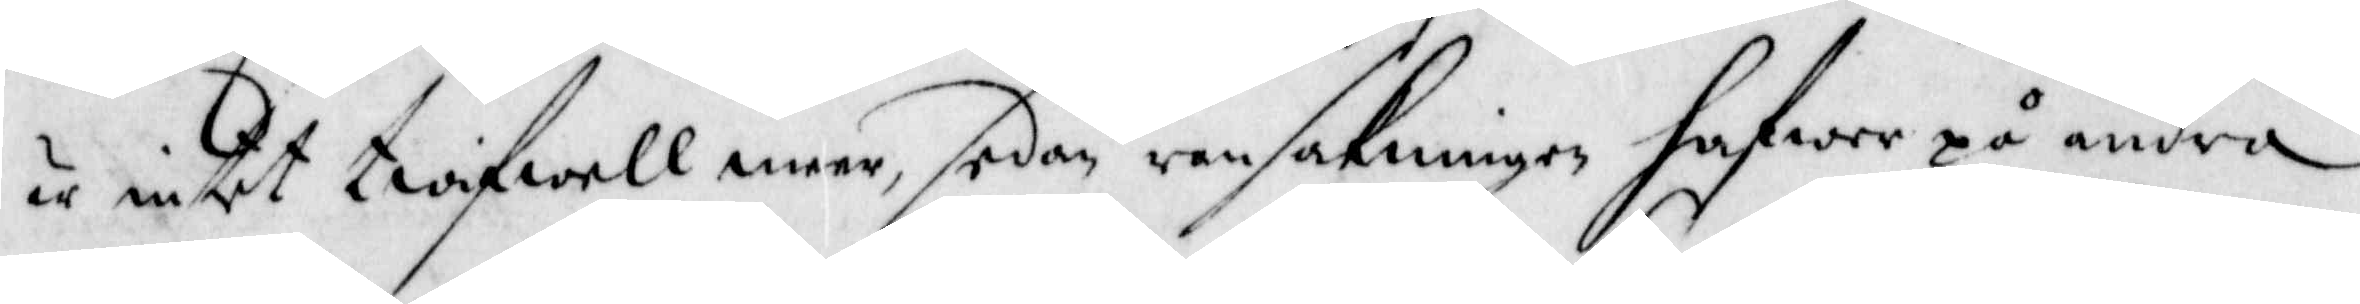är intet twifwell meer, sedan ransakningen hafwer på andra
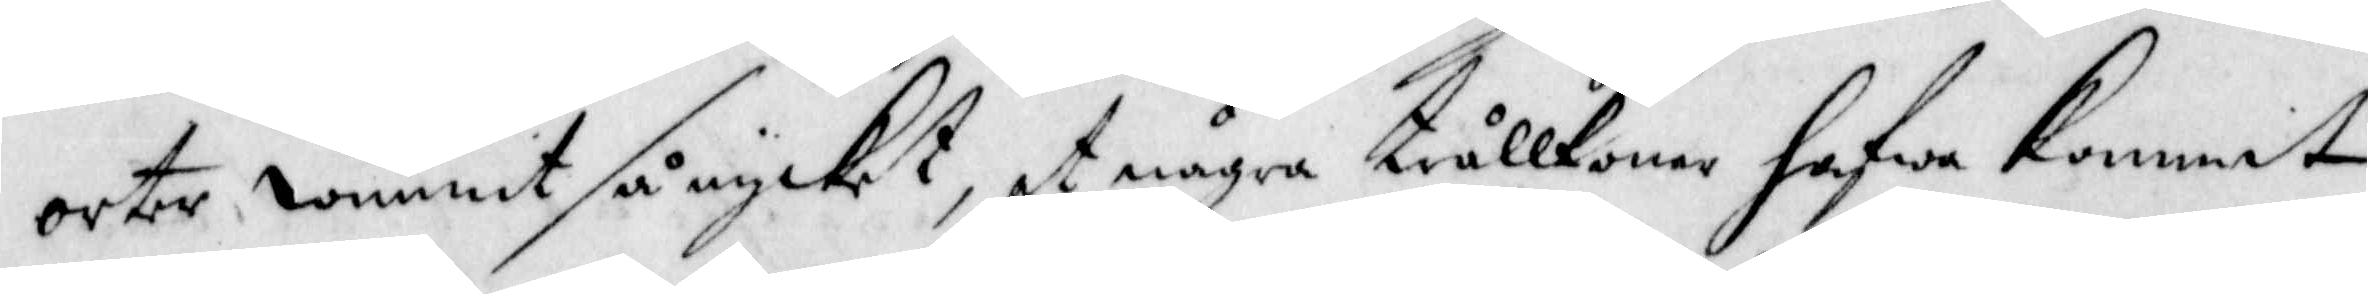orter wunnit så mycket, at några trållkonor hafwa kommit
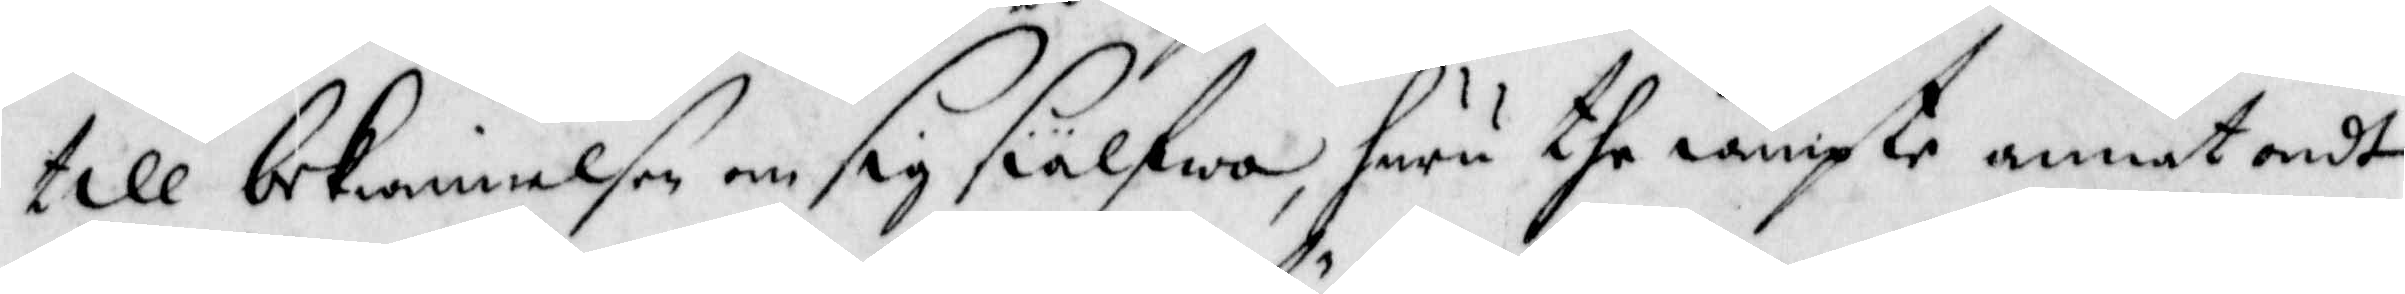till bekiennelsen om sig siälfwa, huru the iämpte annat ondt
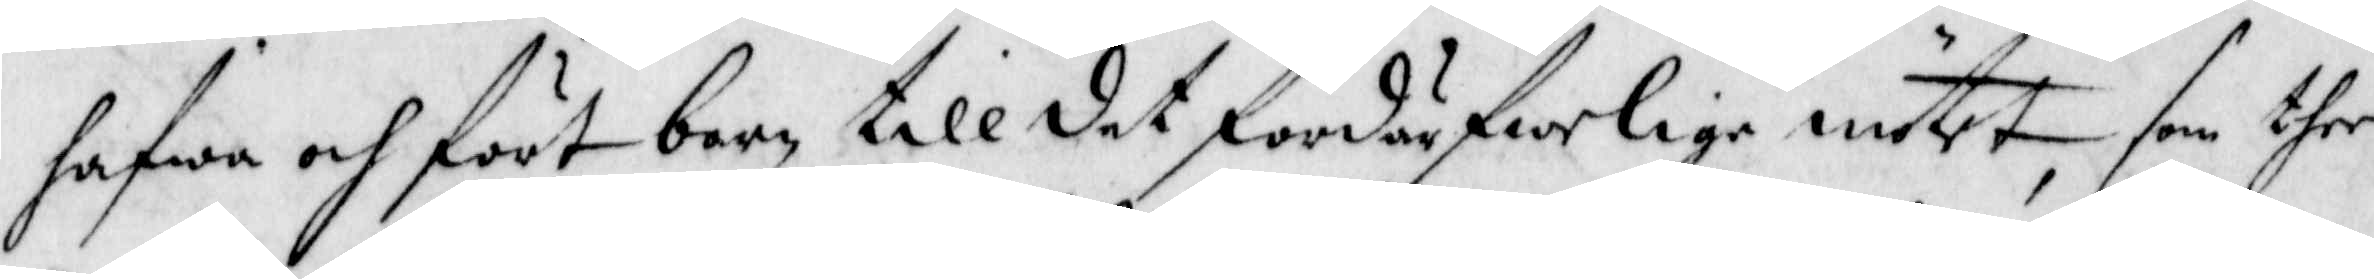hafwa och fört barn till det fördärfwelige mötet, som ther
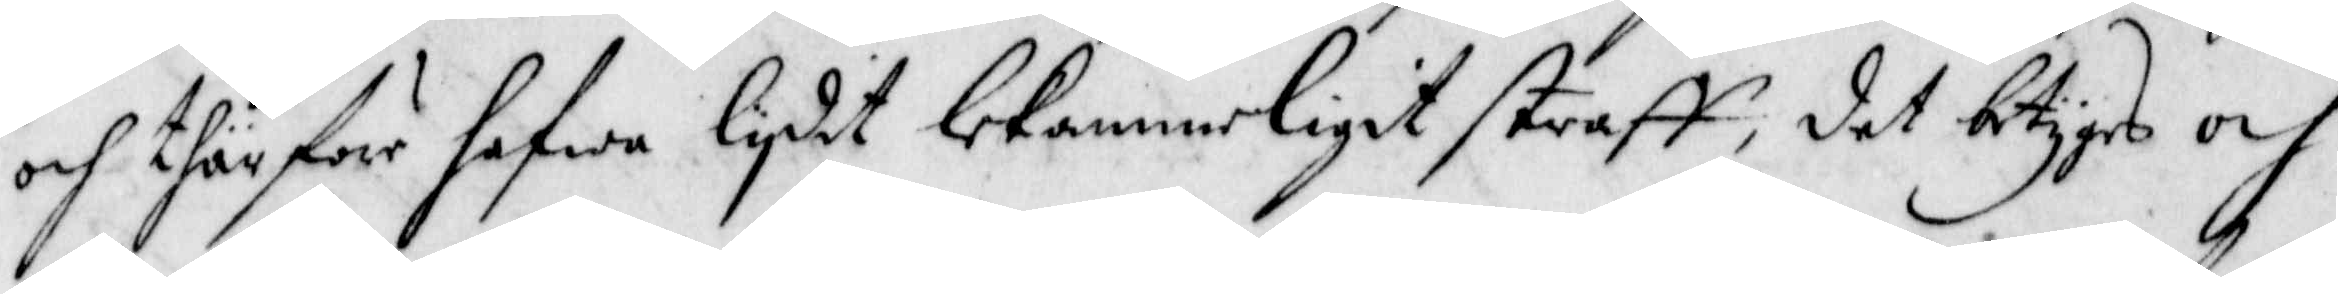och thär förr hafwa lydit lekammerligit straff, det betygas och
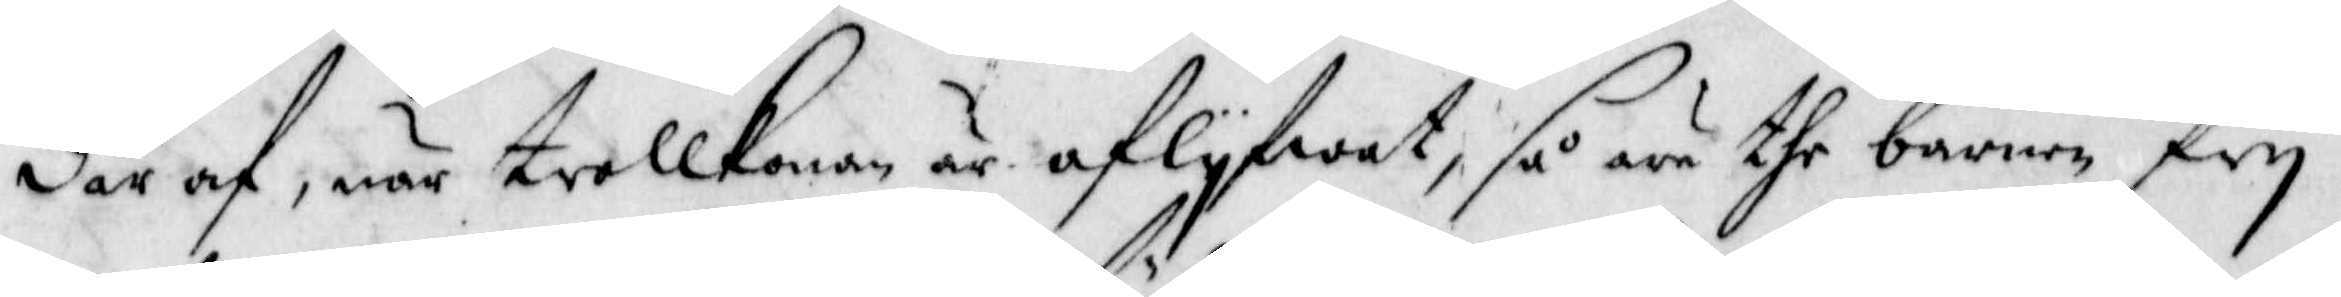där af, när trollkonan är aflyfwat, så äro the barnen fry
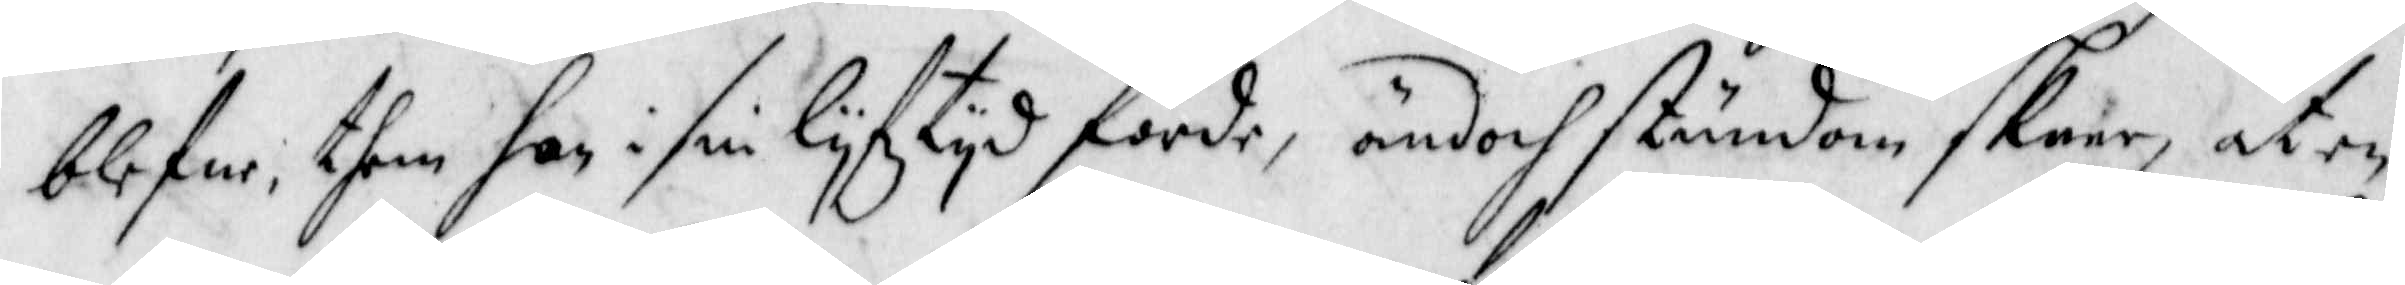blefne, them hon i lyfztyd förde, ändoch stundom skeer, at en
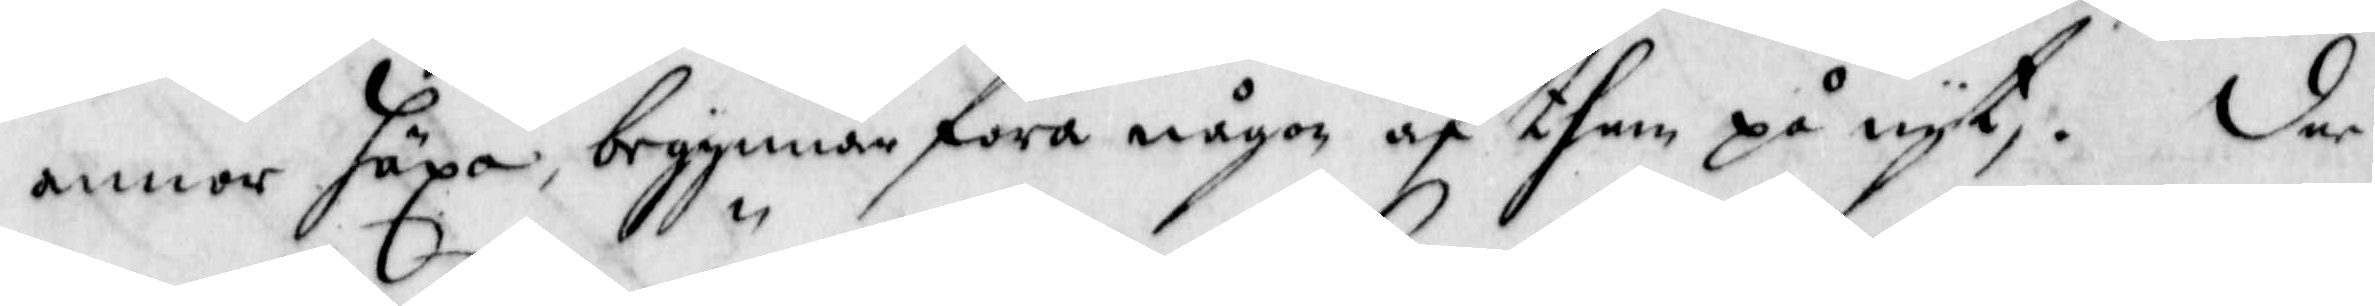annor häxa begynnar föra någon af them på nyt,. Der
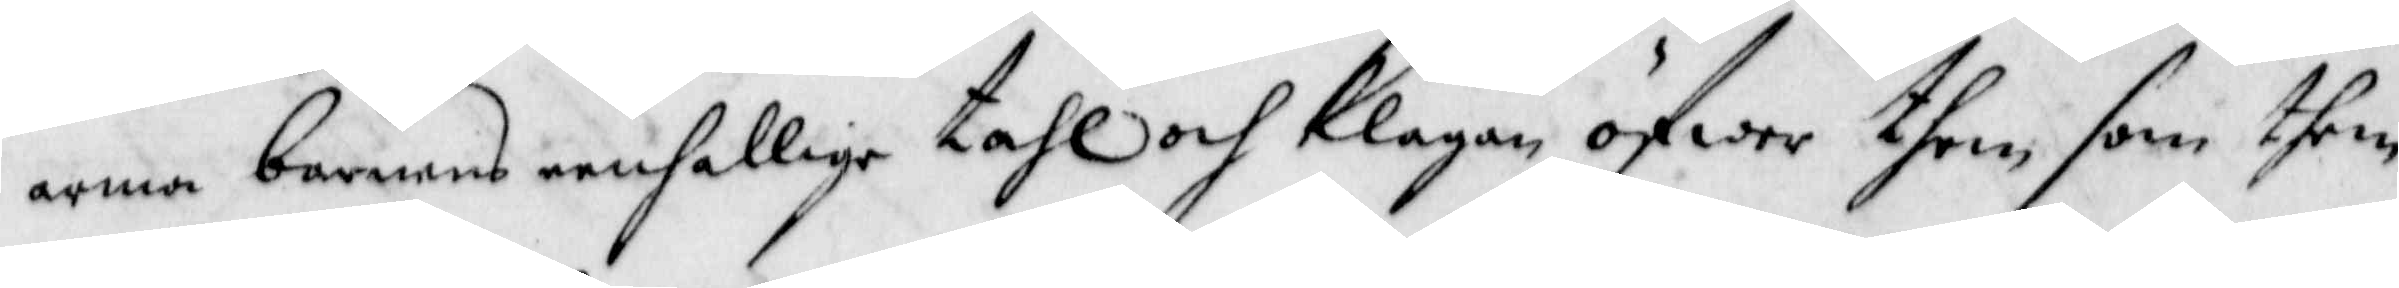arma barnens eenfallige tahl och klagan öfwer then, som them
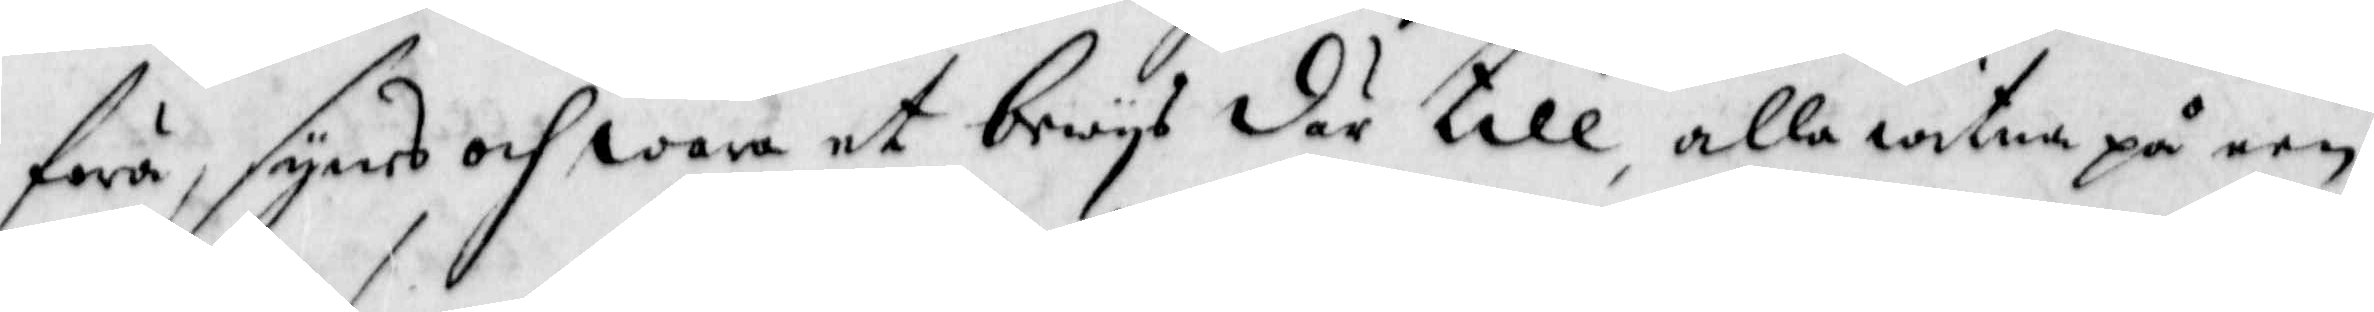föra, synes och wara et bewys där till, alla witnen på een,
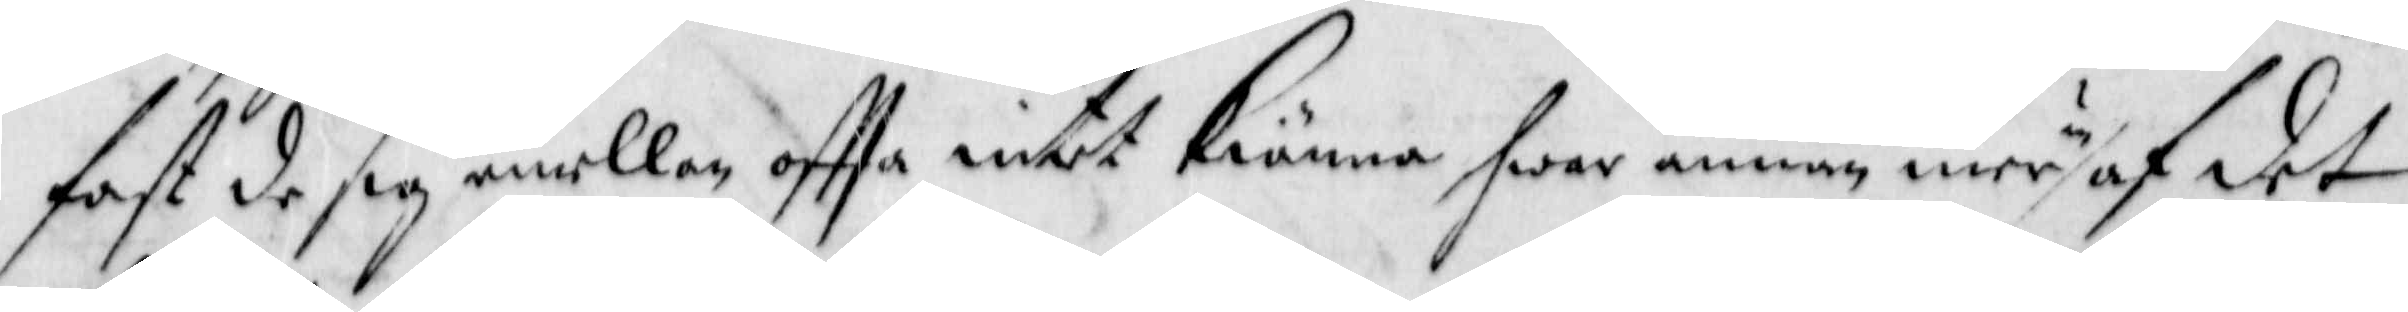fast de sig emeööam offta intet kiänna hwar annan mer än af det
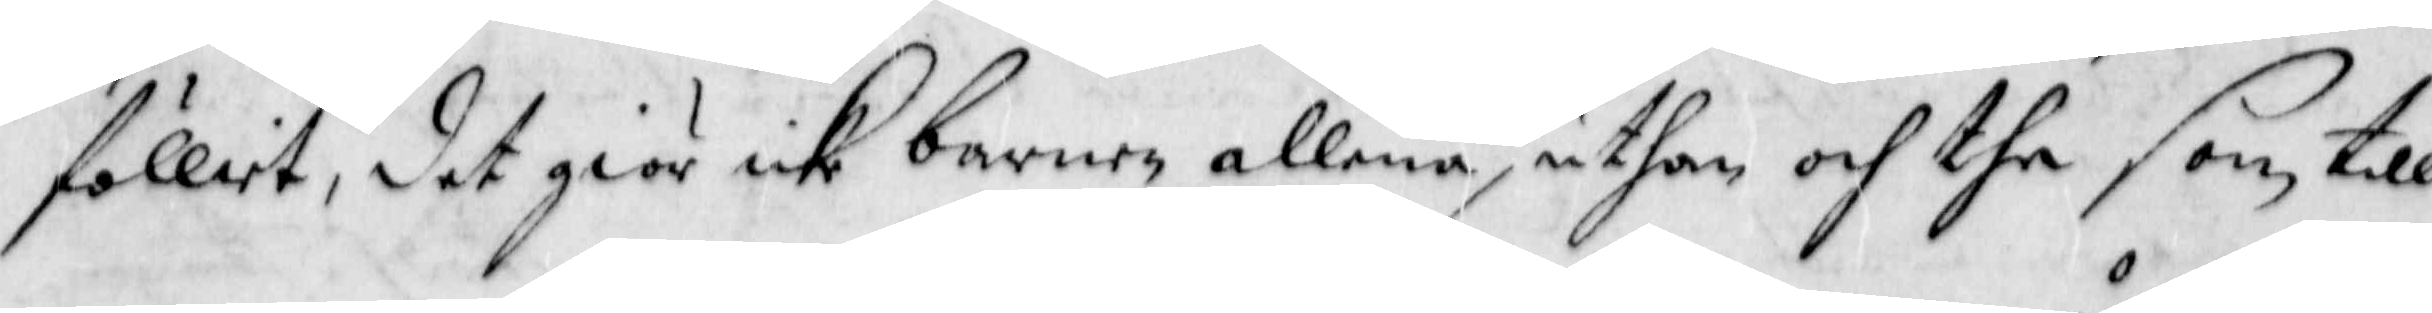fölliet, det giör icke barnen allena, uthan och the som till
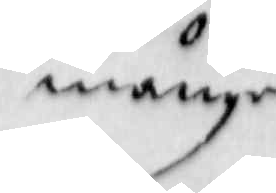månge
